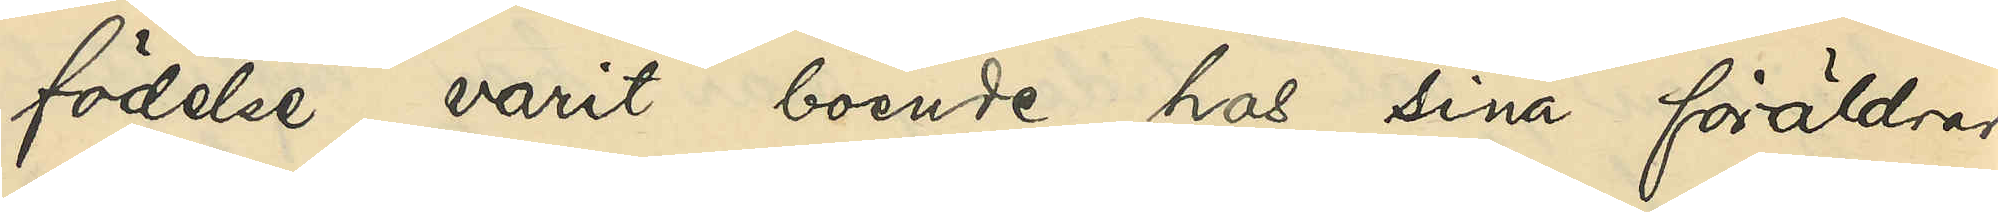födelse varit boende hos sina föräldrar,
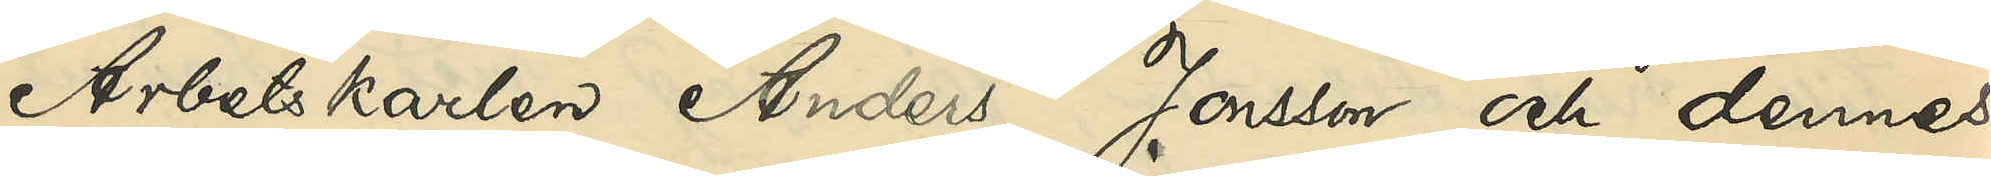Arbetskarlen Anders Jonsson och dennes
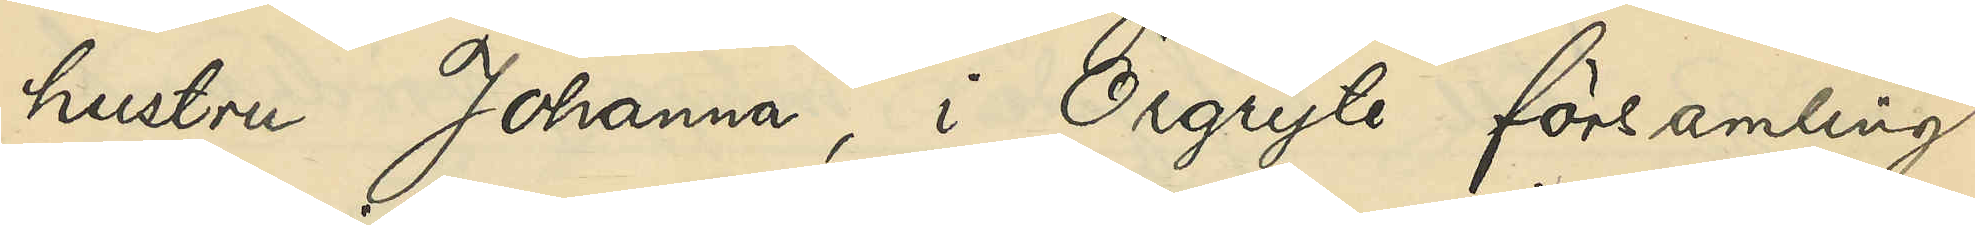hustru Johanna i Örgyte församling,
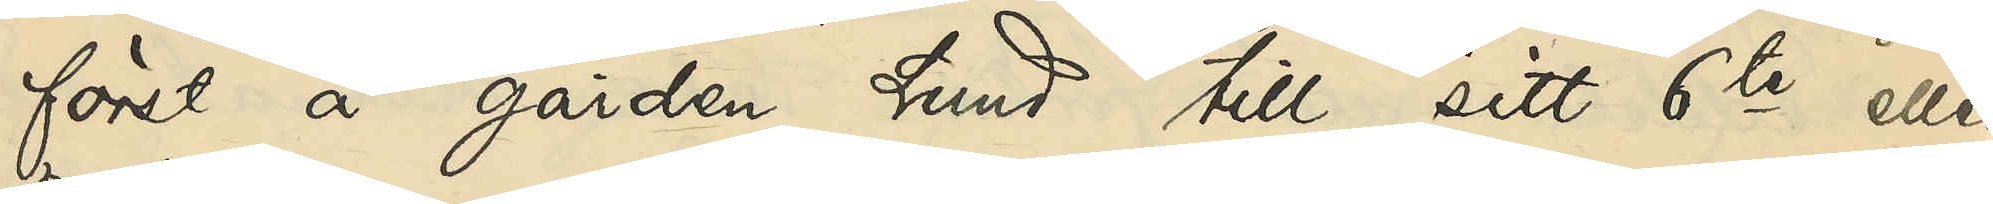först å gården Lund till sitt 6te eller
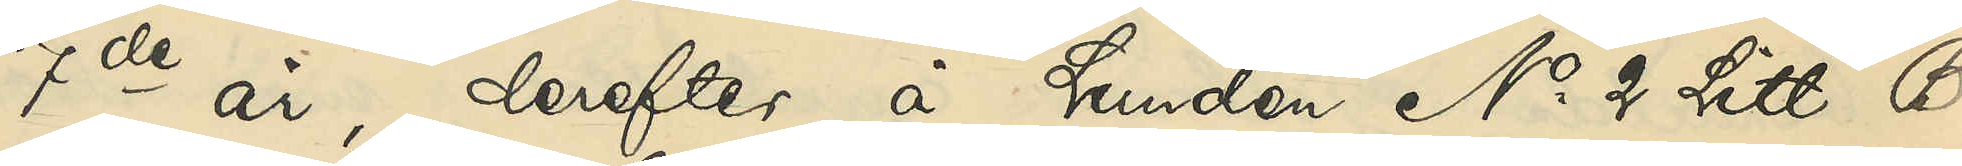7de år, derefter å Lunden No 2 Litt. B
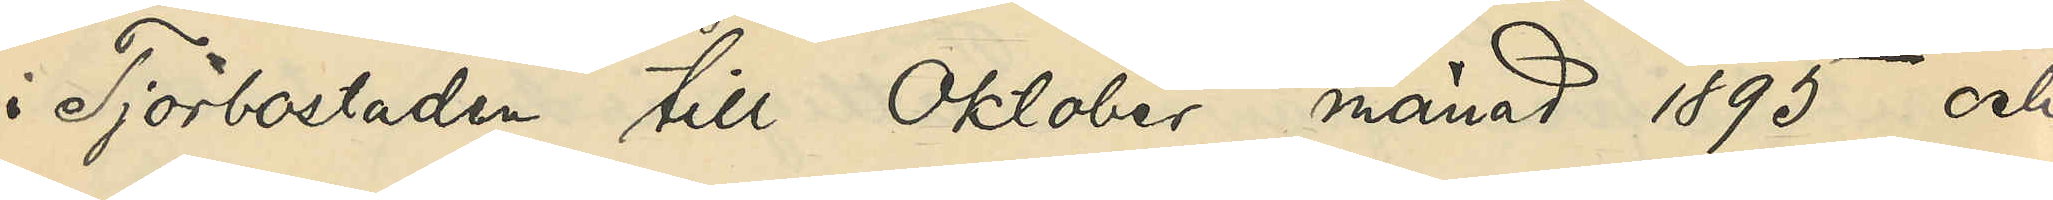i Tjörbostaden till Oktober månad 1895 och
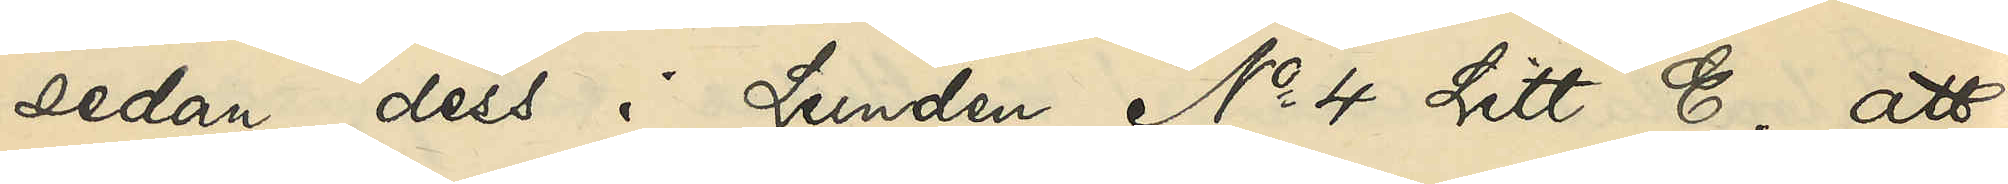sedan dess i Lunden No 4 Litt E; att
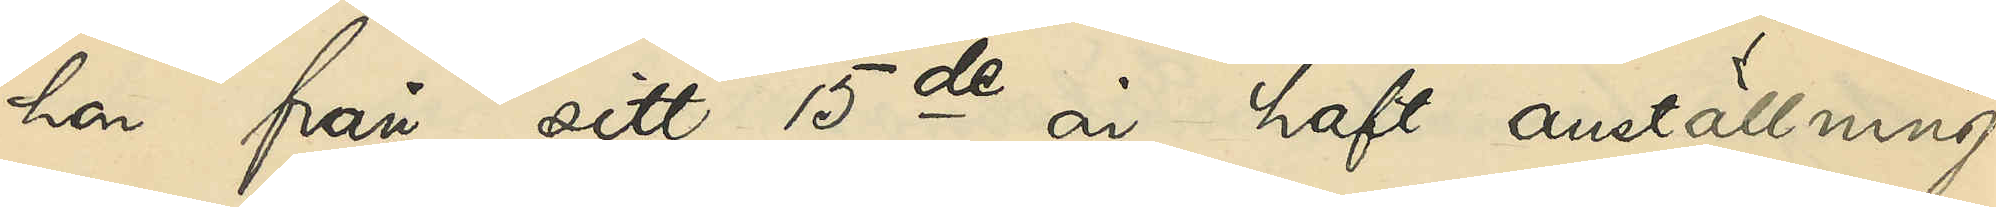hon från sitt 15de år haft anställning
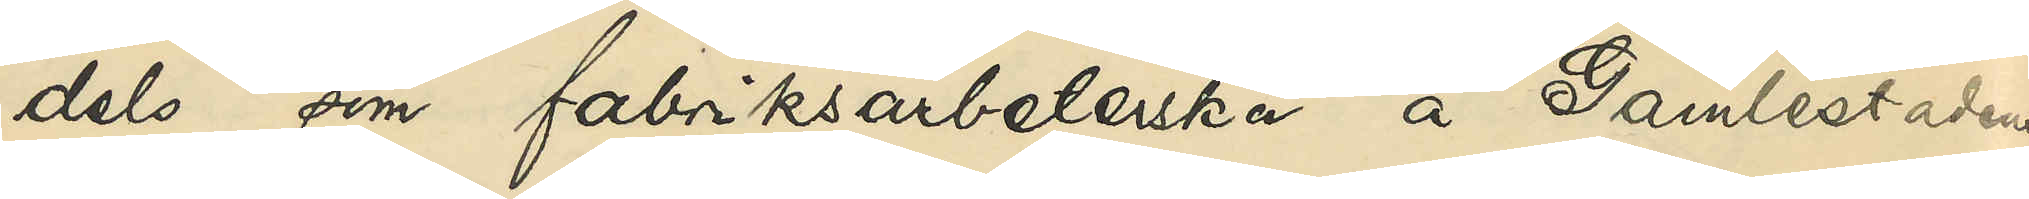dels som fabriksarbeterska å Gamlestadens
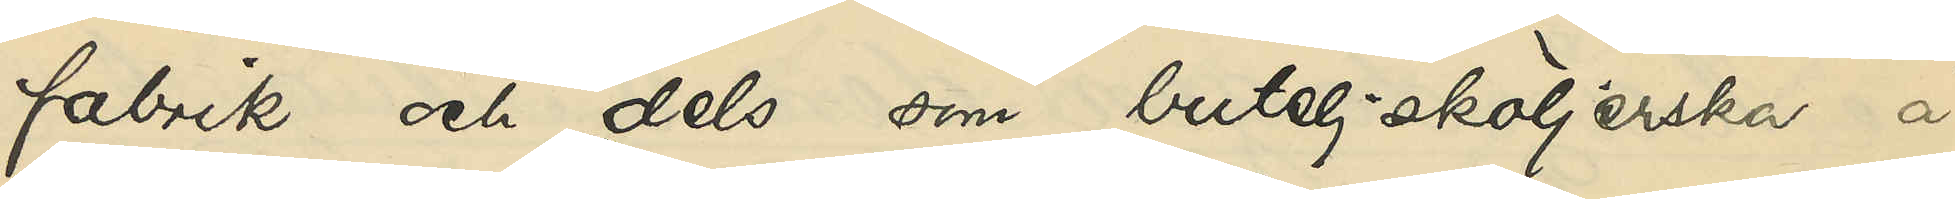fabrik och dels som buteljsköljerska å
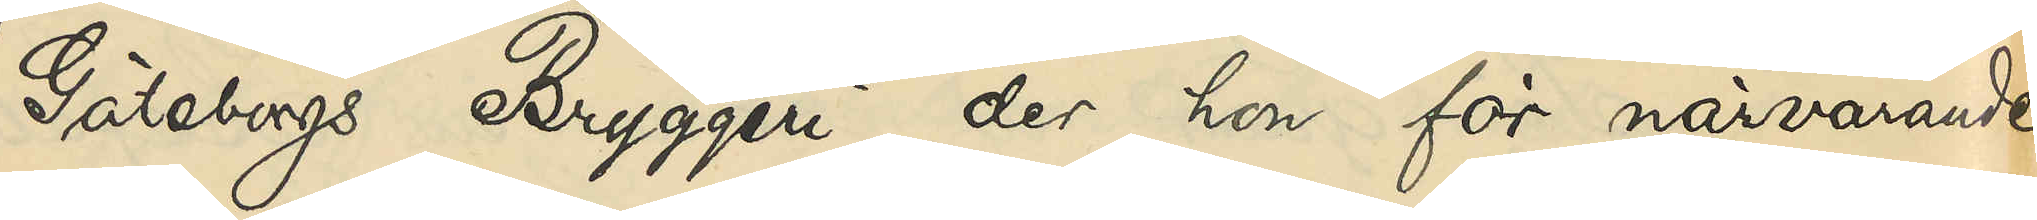Göteborgs Bryggeri, der hon för närvarande
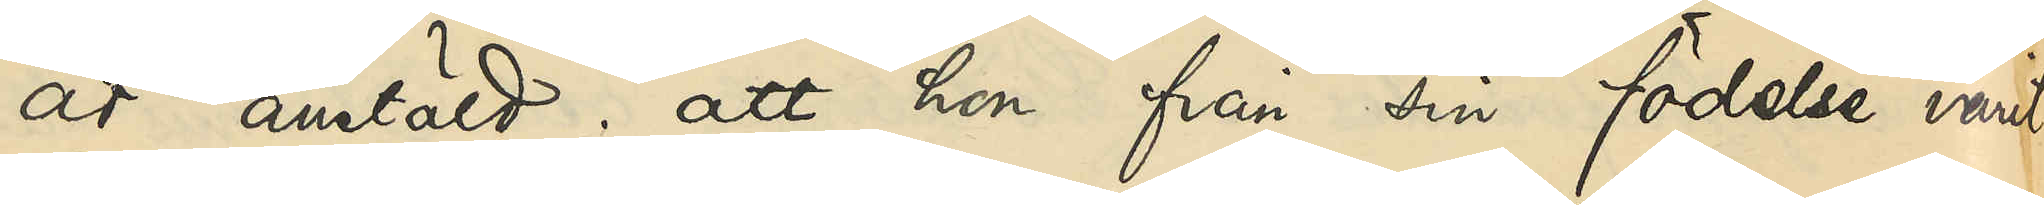är anstäld; att hon från sin födelse varit
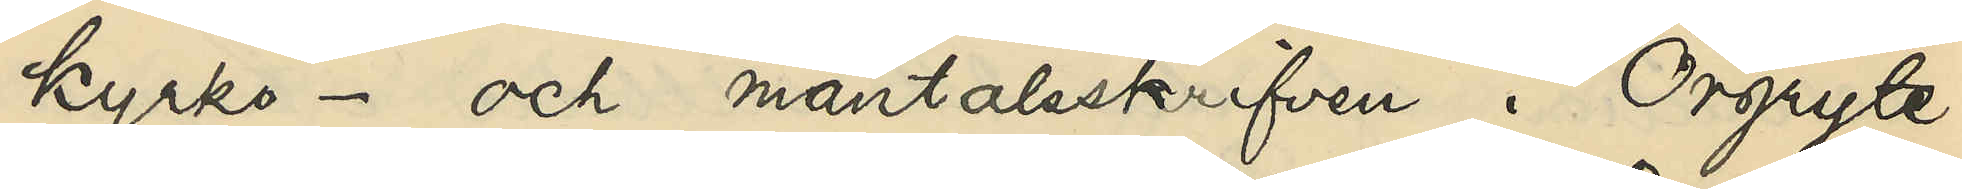kyrko- och mantalsskrifven i Örgryte
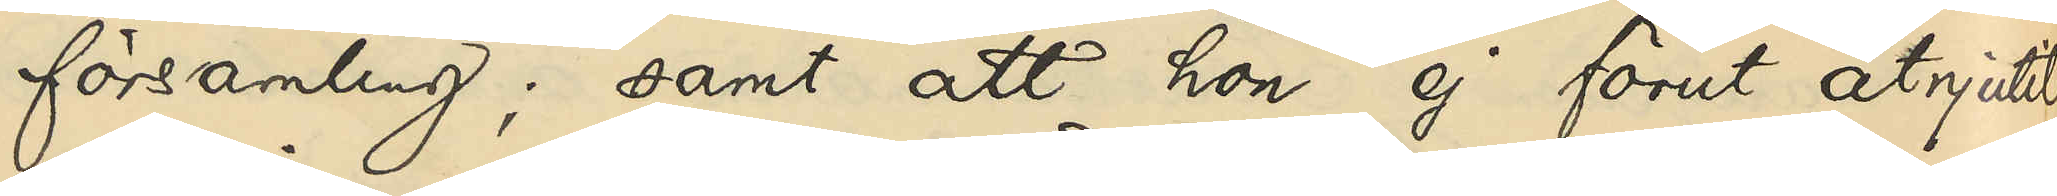församling; samt att hon ej förut åtnjutit
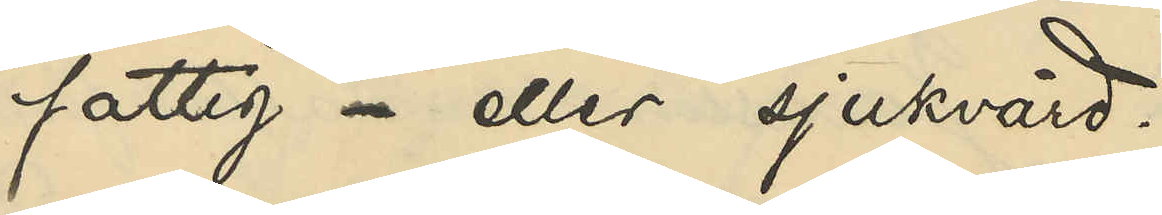fattig- eller sjukvård.
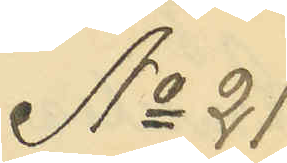No 21
